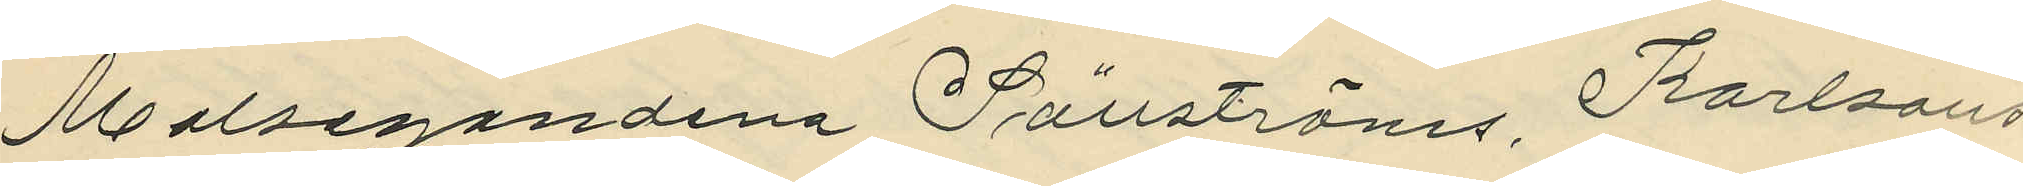Malsegandena Sällströms, Karlssons 
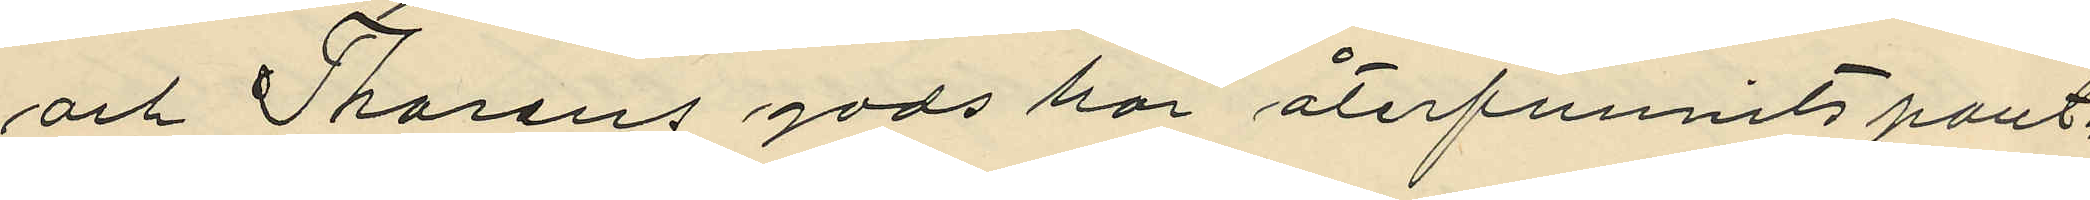och Thorens gods har återfunnits pant¬
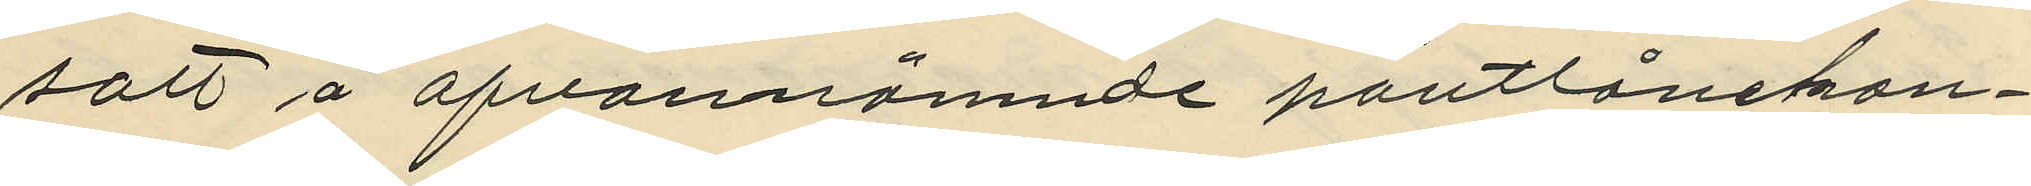satt å ofvannämnde pantlånekon¬
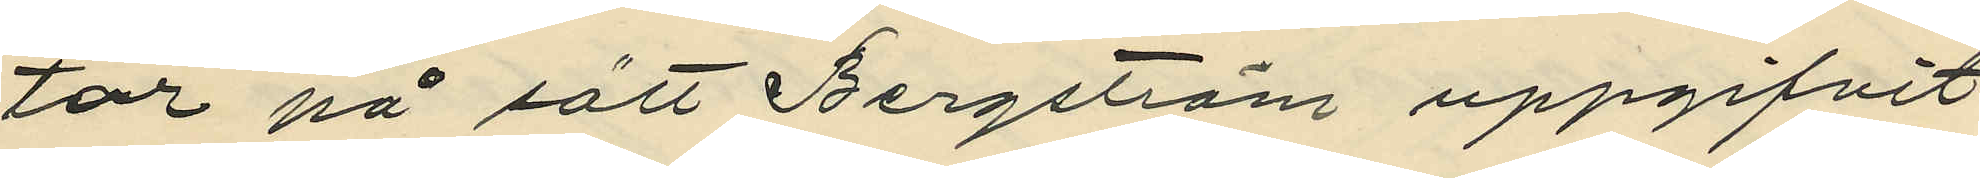tor på sätt Bergström uppgifvit
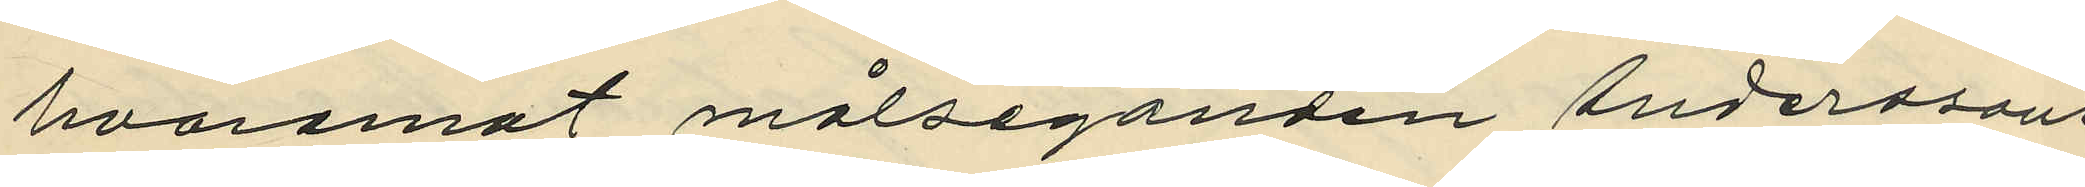hvaremot målseganden Anderssons
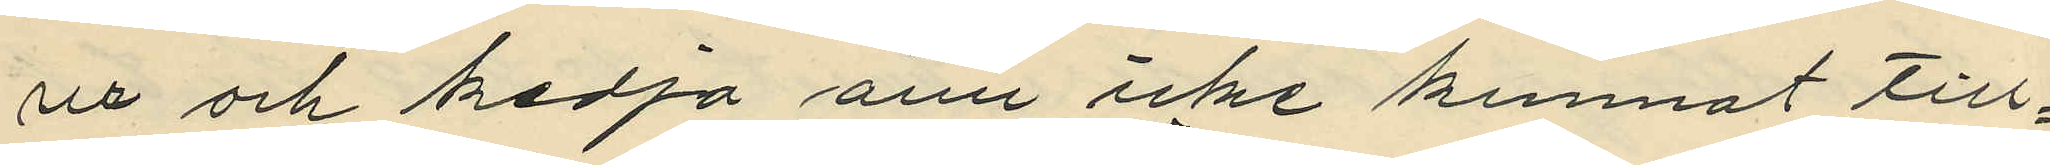ur och kedja änu icke kunnat till¬
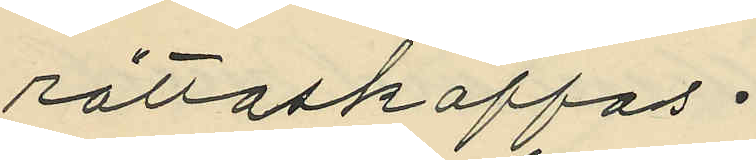rättaskaffas.
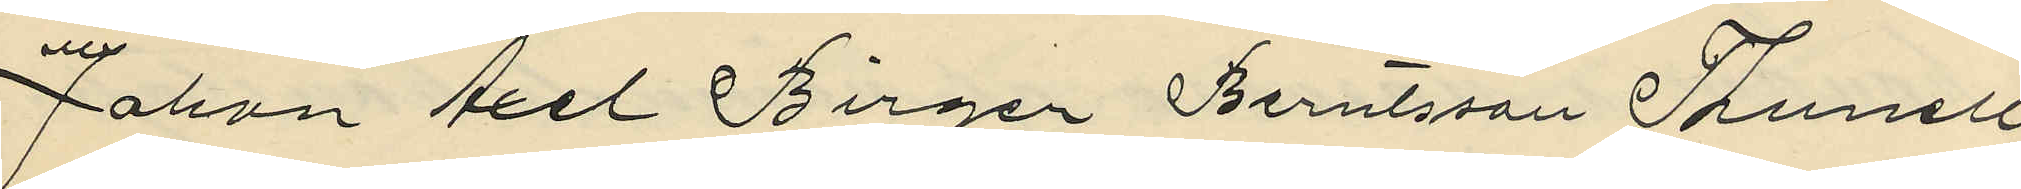Johan Axel Birger Berntsson Thunell
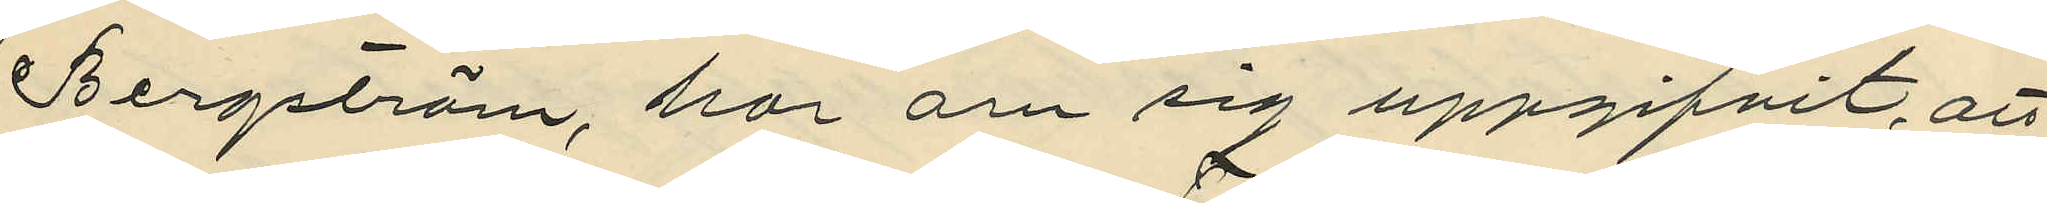Bergström, har om sig uppgifvit, att
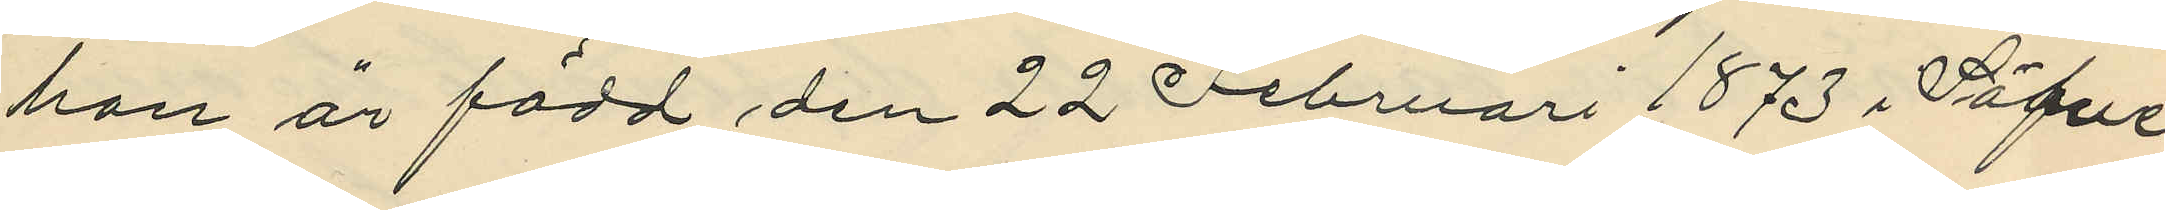han är född den 22 Februari 1873 i Säfve
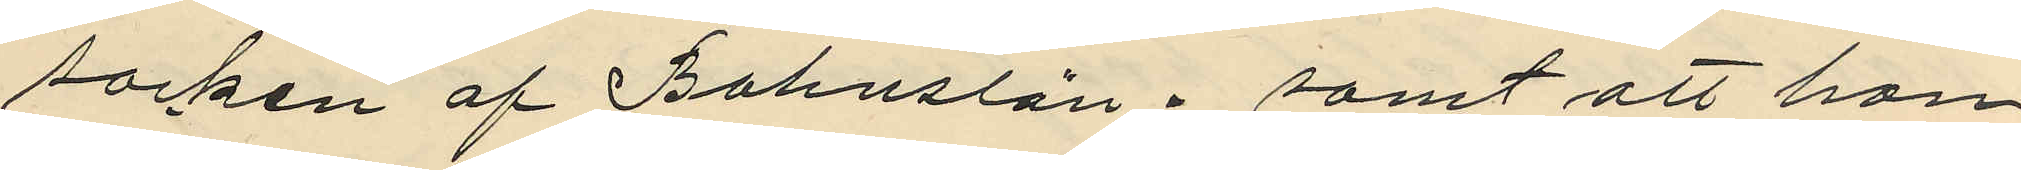socken af Bohuslän; samt att han 
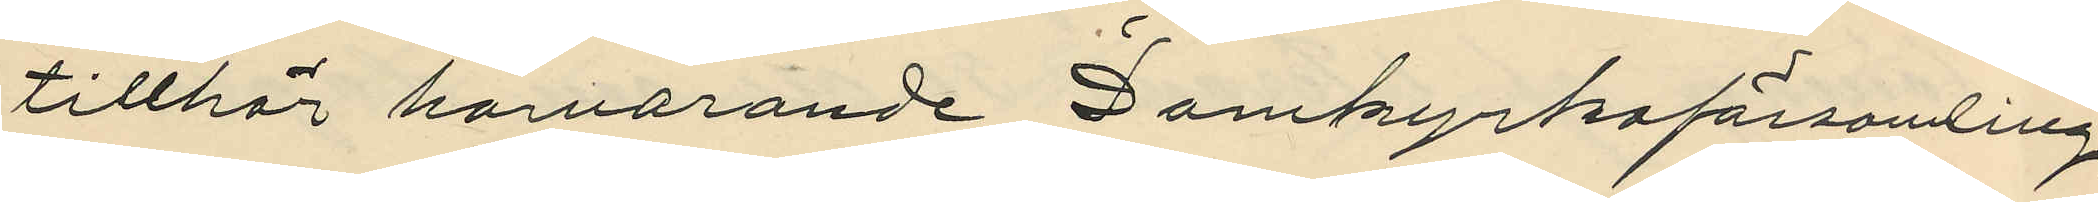tillhör harvarande Domkyrkoförsamling.
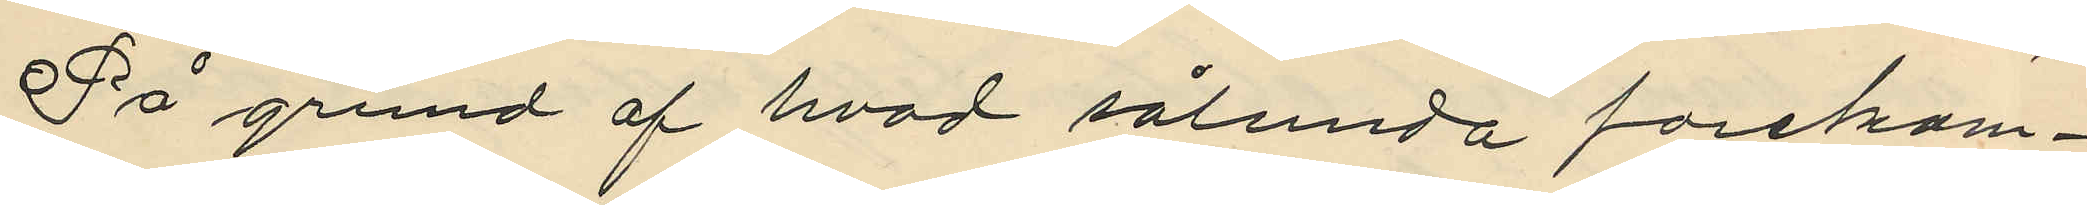På grund af hvad sålunda forekom¬ 
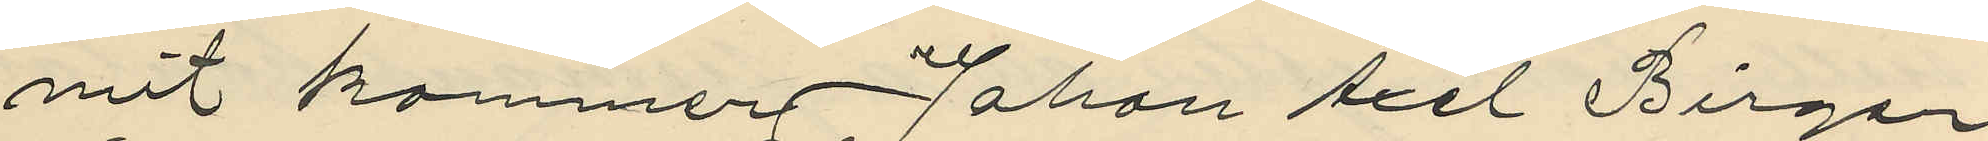mit kommer Johan Axel Birger
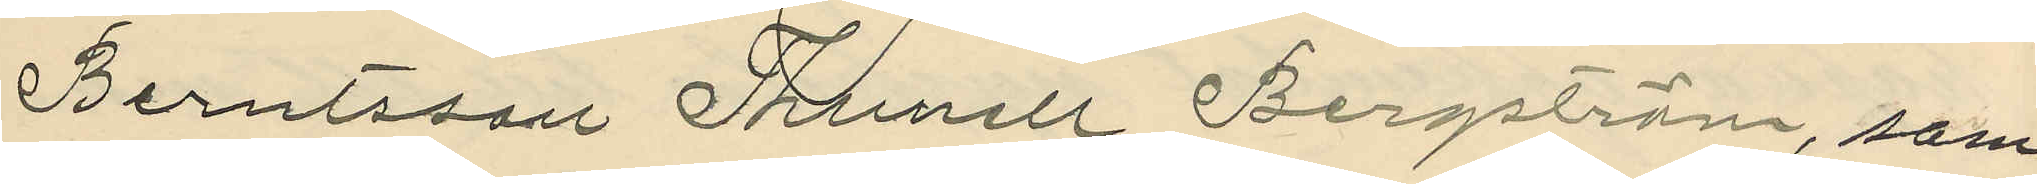Berntsson Thunell Bergström, som
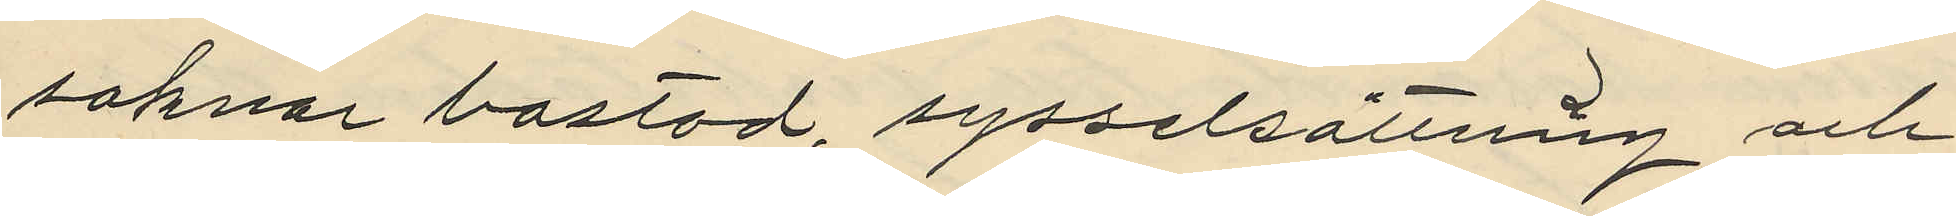saknar bostad, sysselsättning och
